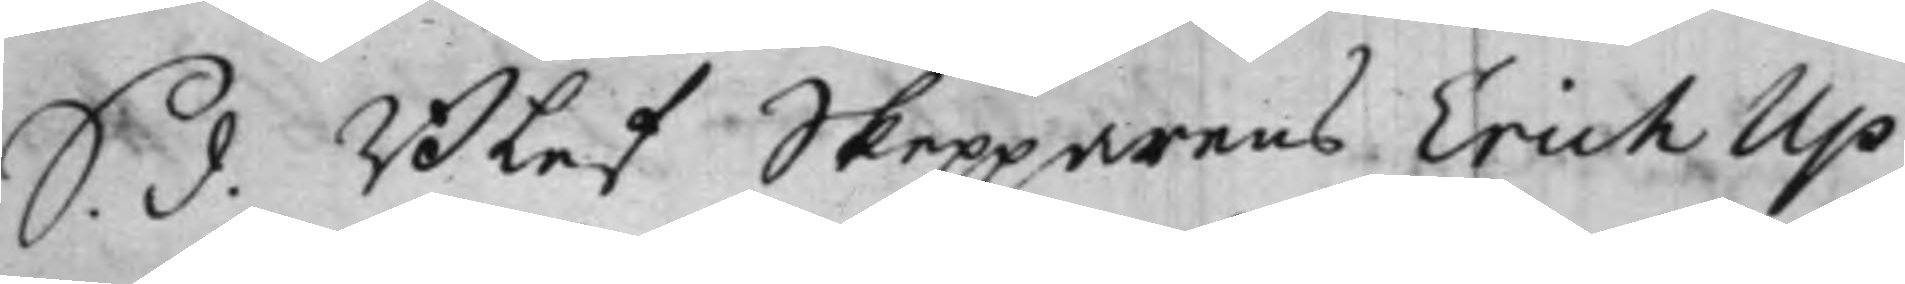S. d. Blef Skepparens Erich Up¬
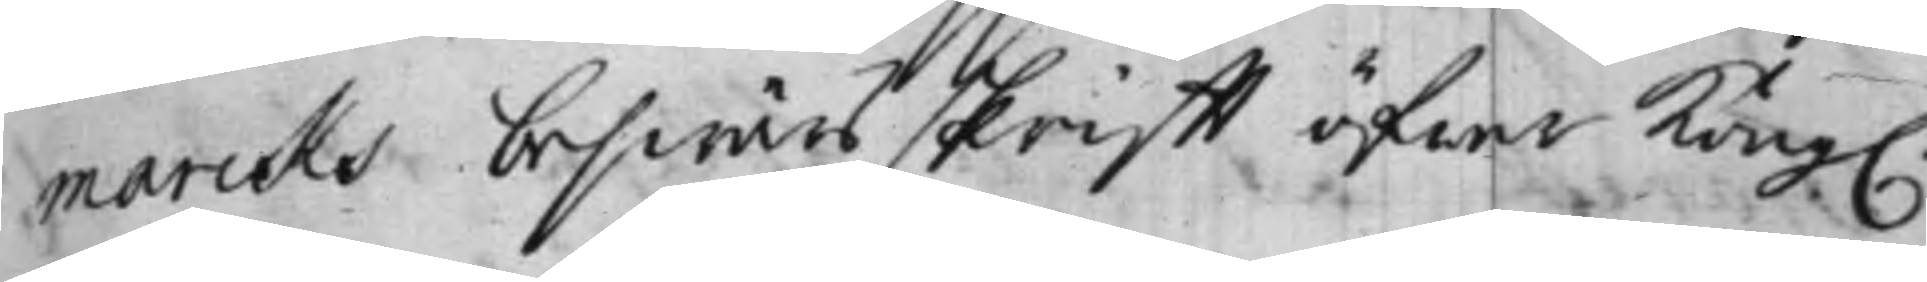marcks beswärsskrift öfwer Kong.
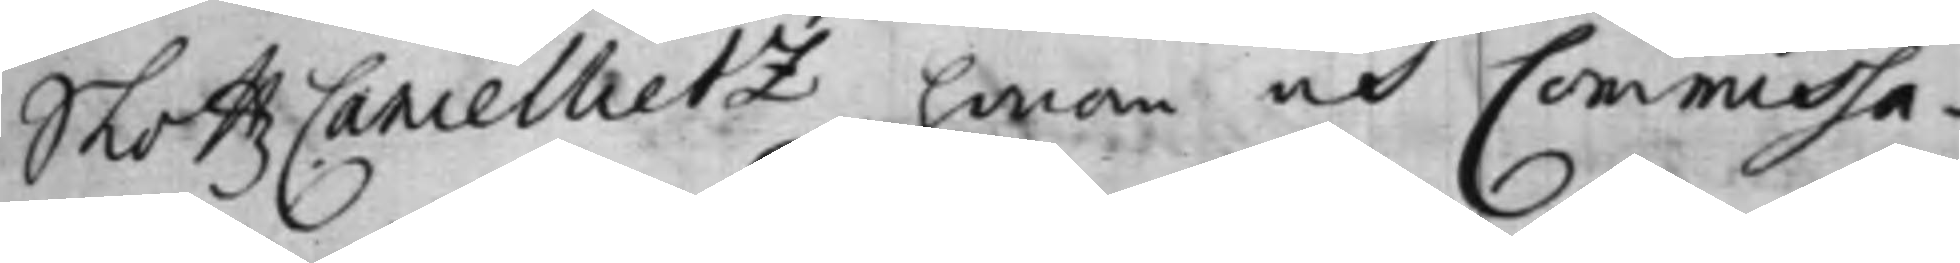SlottzCancellietz honom och Commissa¬
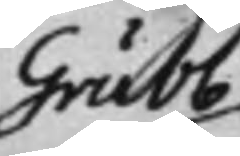Grubb
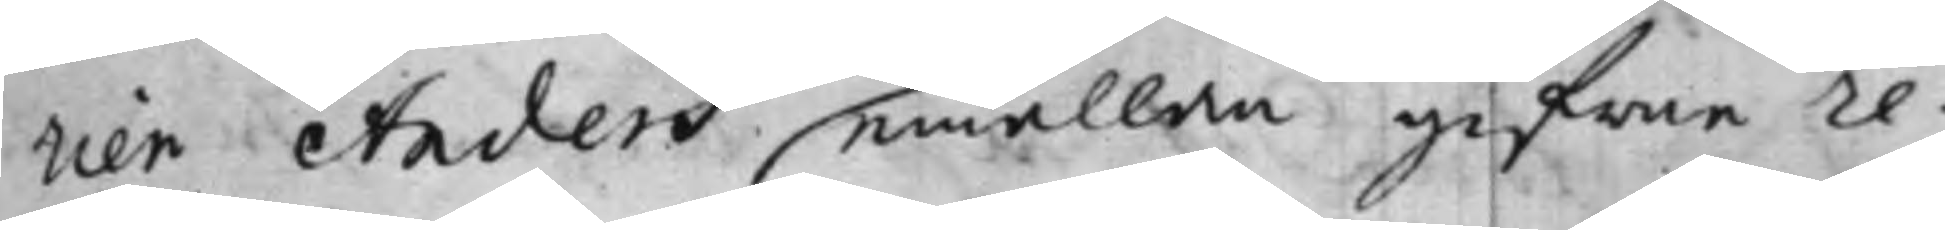rien Anders emällan gifne re¬
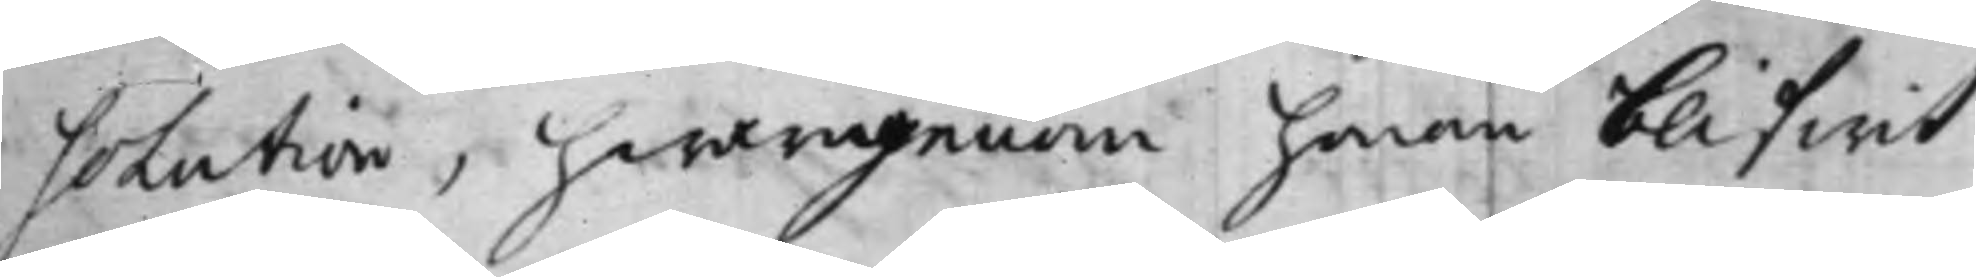solution, hwarigenom honom blifwit
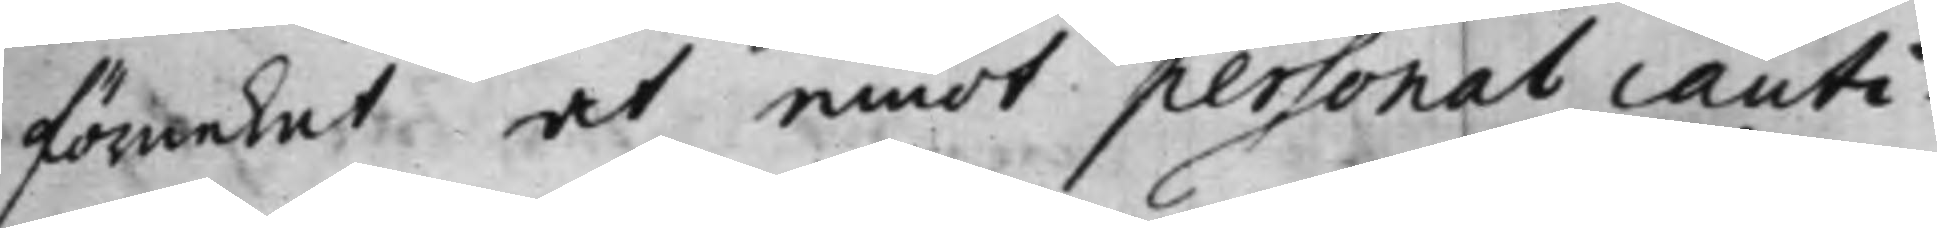förnekat at emot personal cauti¬
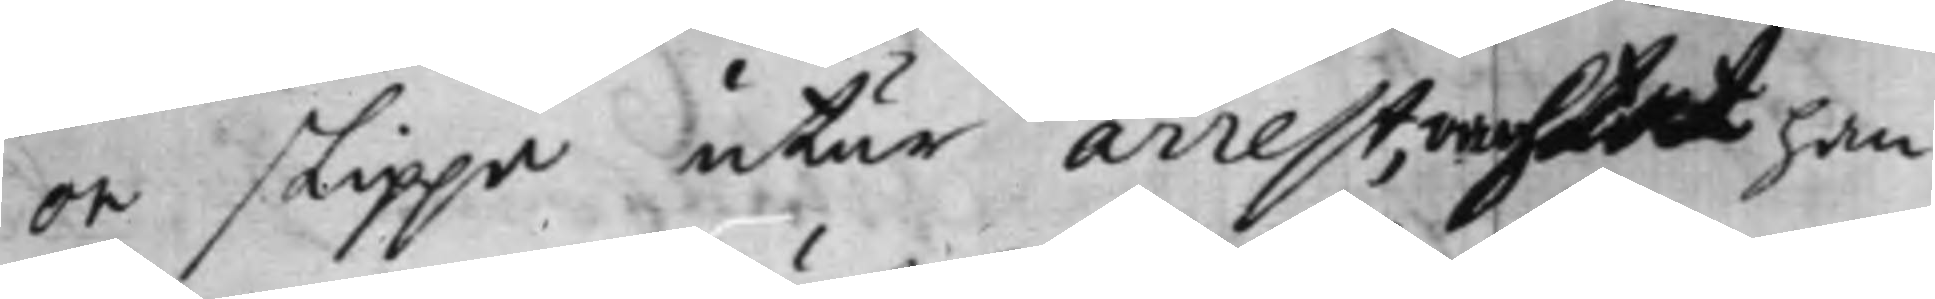on slippa utur arrest, oachtat han
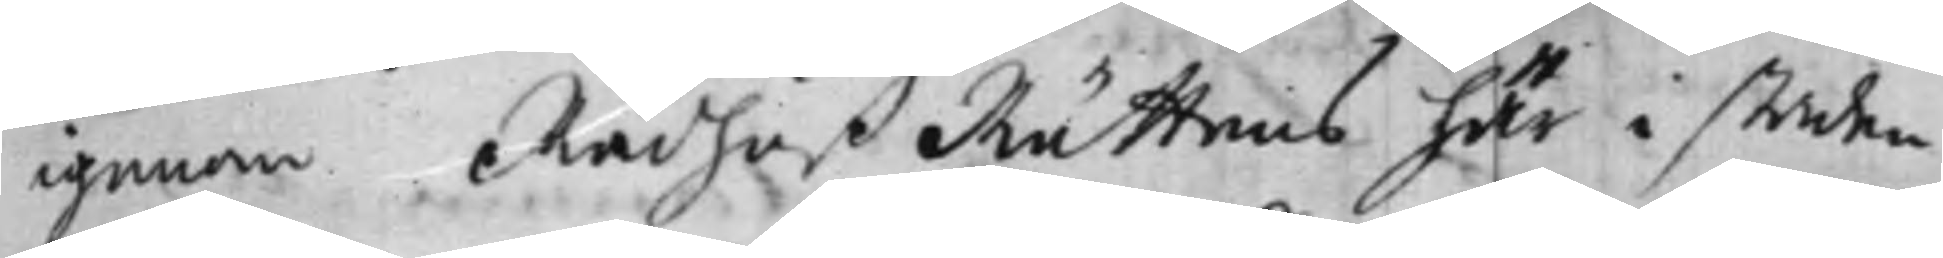igenom Rådhuß Rättens här i staden
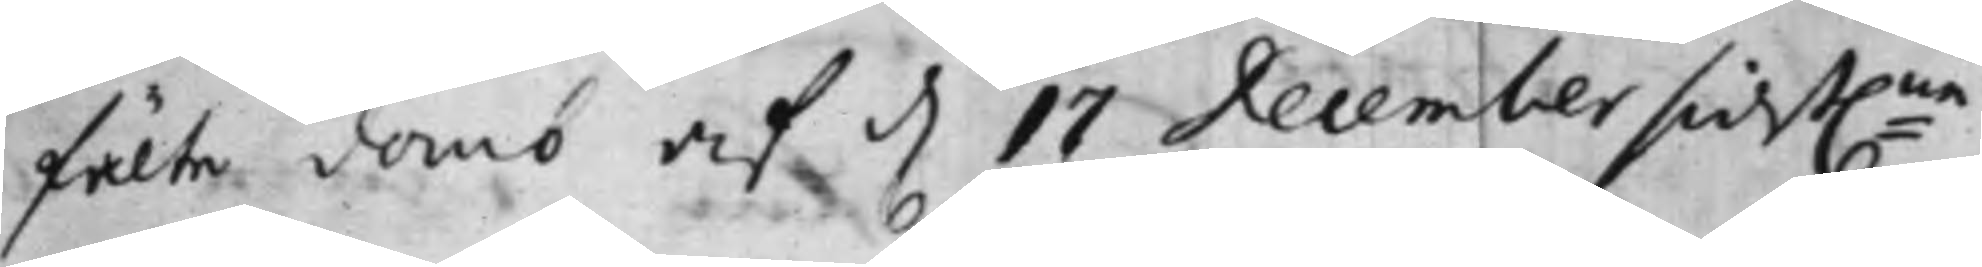fälte domb af d. 17 December sidst:ne
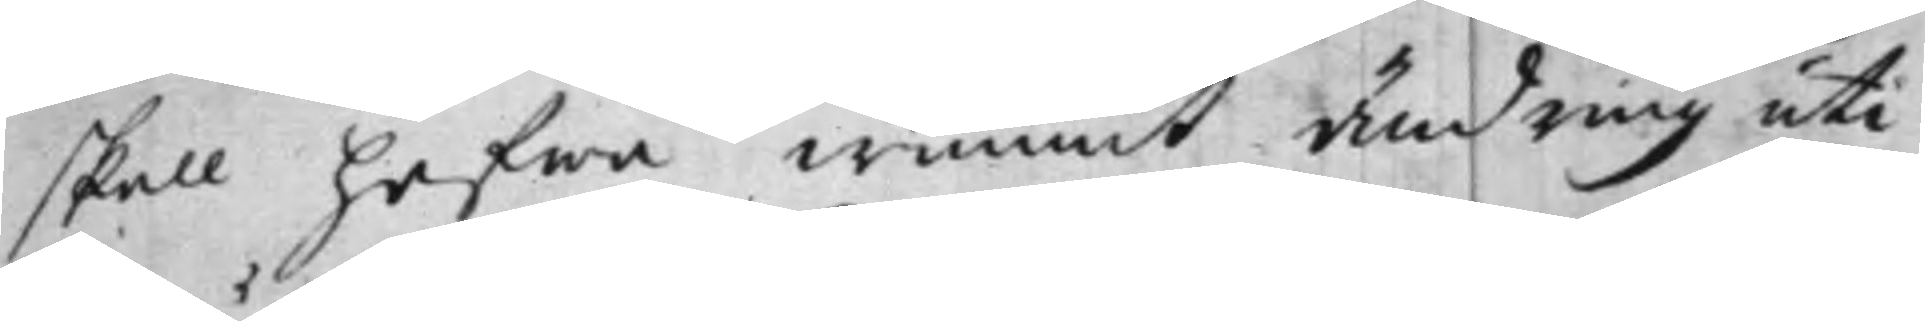skall hafwa wunnit ändring uti
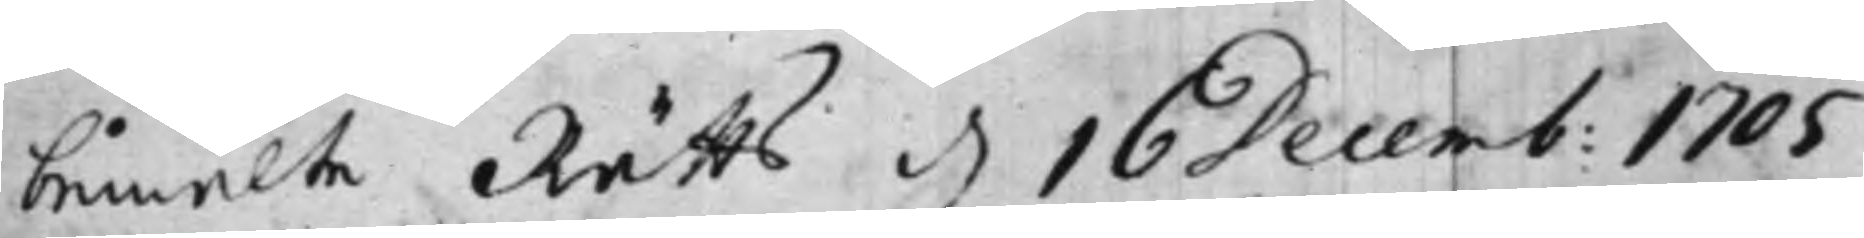bemälte Rätts d. 16 Decemb. 1705
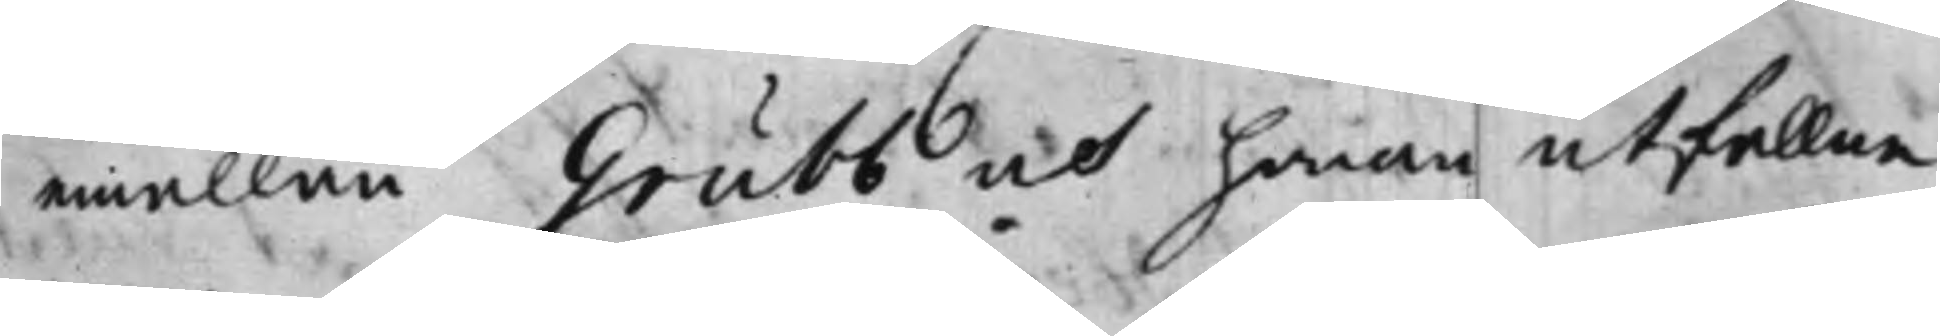emällan Grubb och honom utfallne
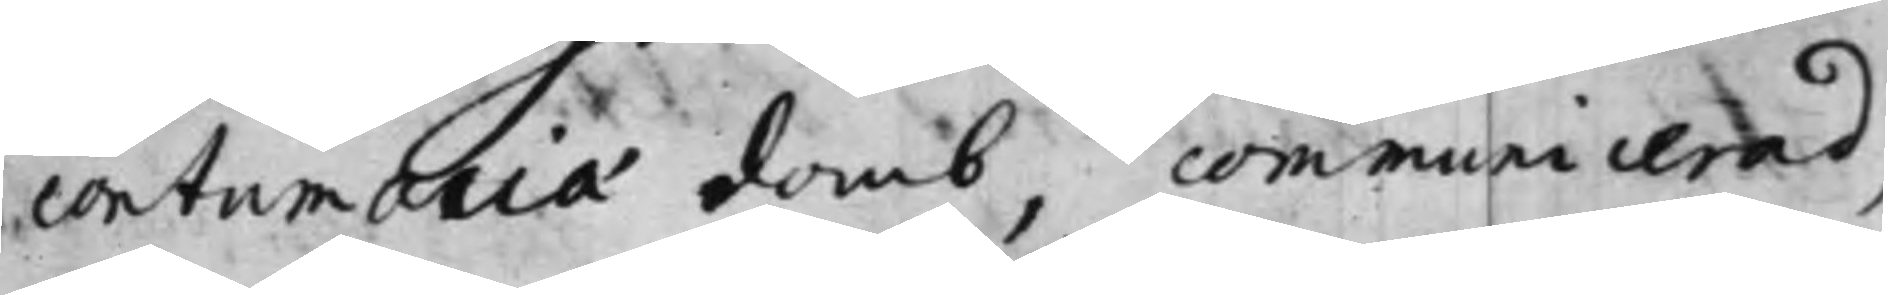contumacia domb, communicerad,
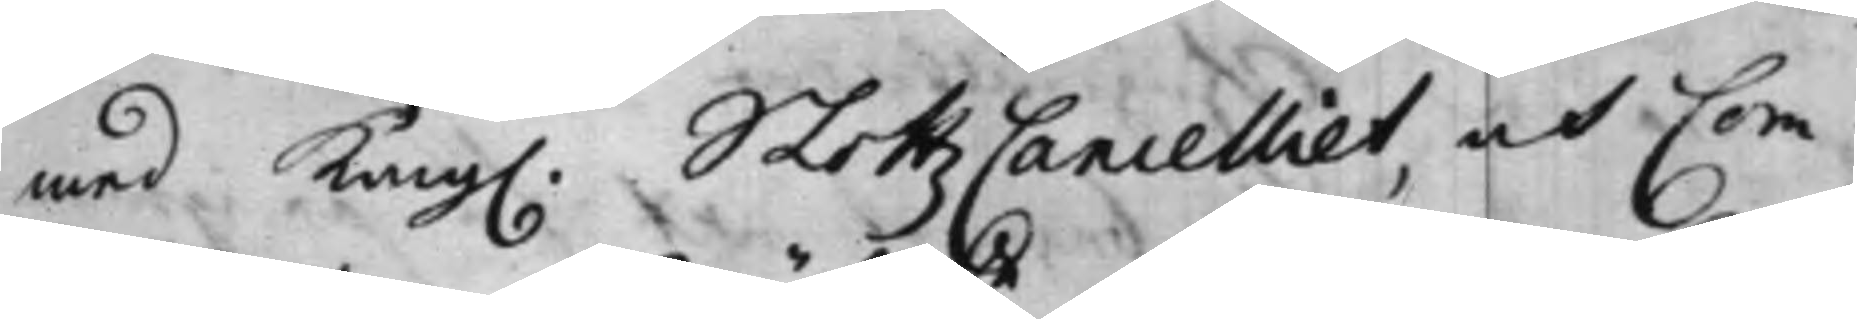med Kong. SlottzCancelliet, och Com¬
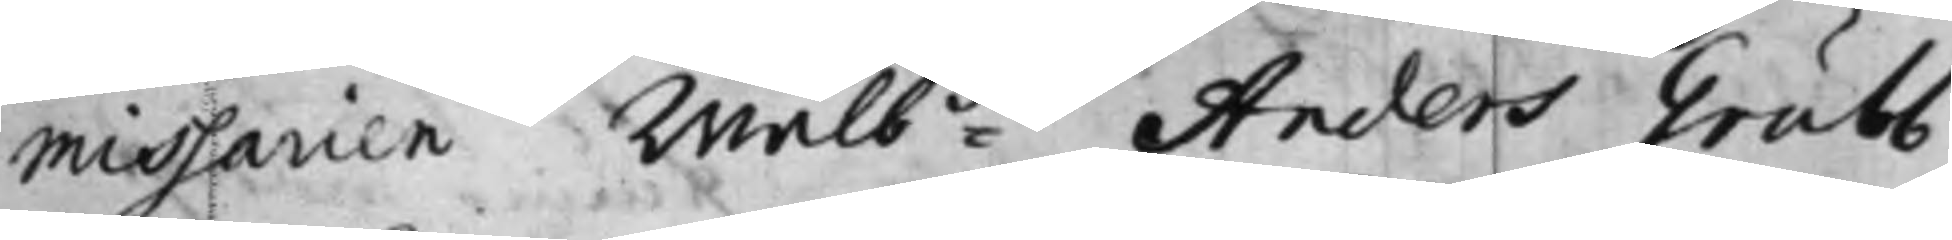missarien Wälb:de Anders Grubb,
